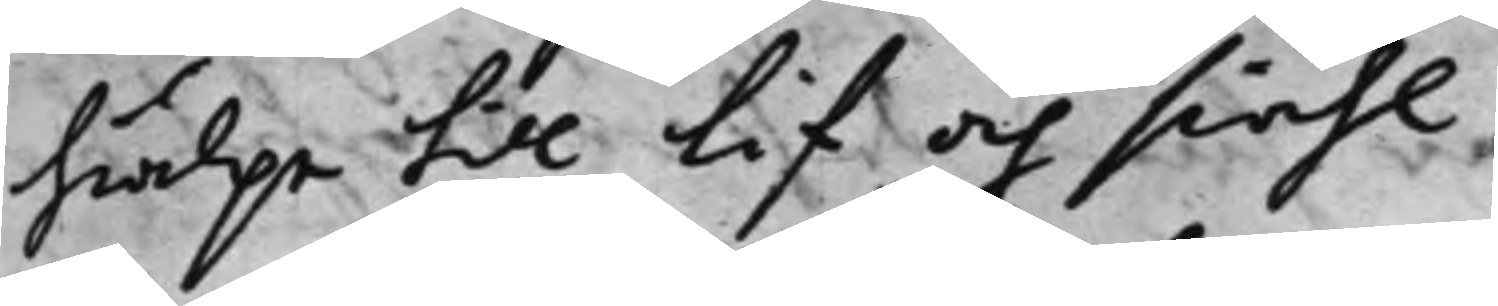hiälpe till Lif och siähl.
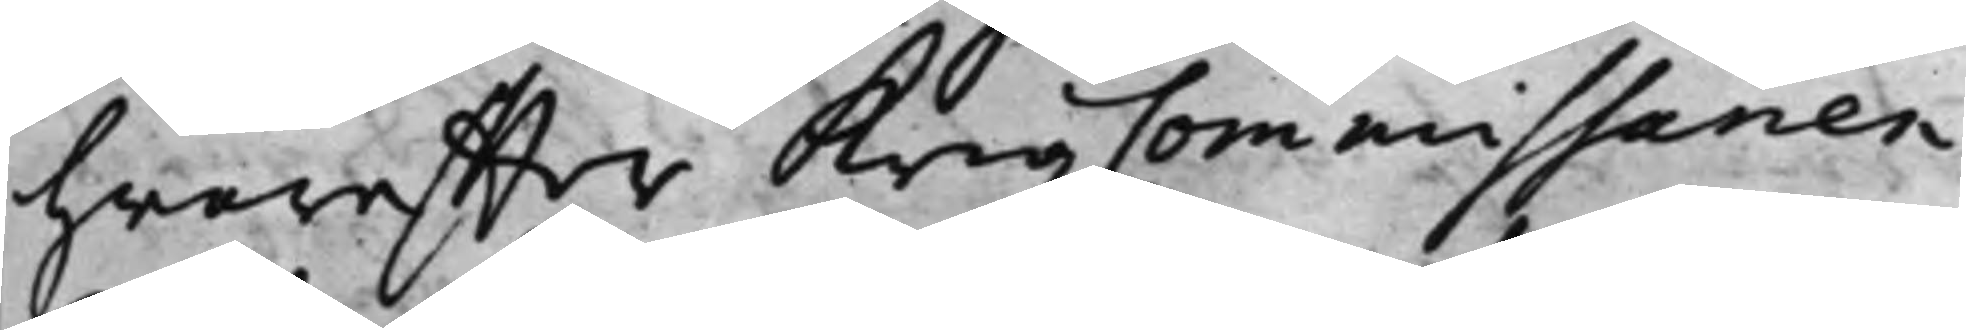hwareffter KrigzCommissarien
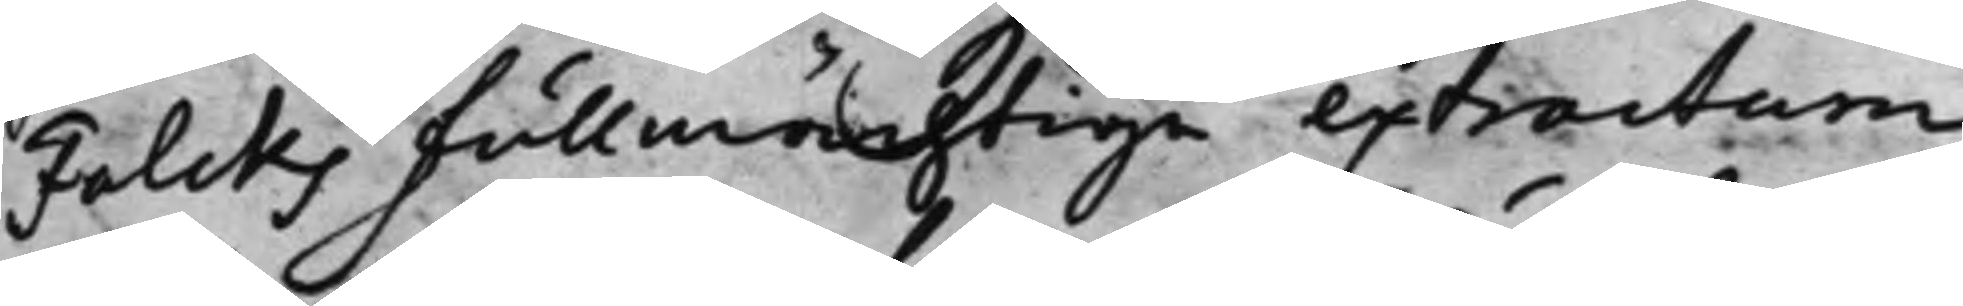Falcks fullmächtige extractum
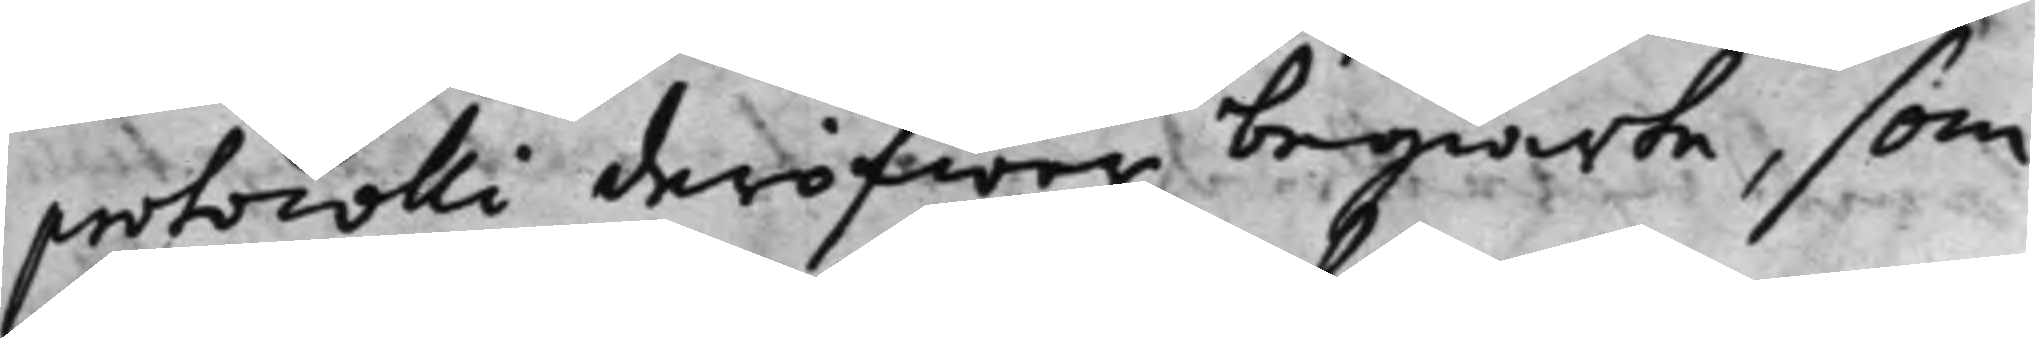protocolli deröfwer begiärte, som
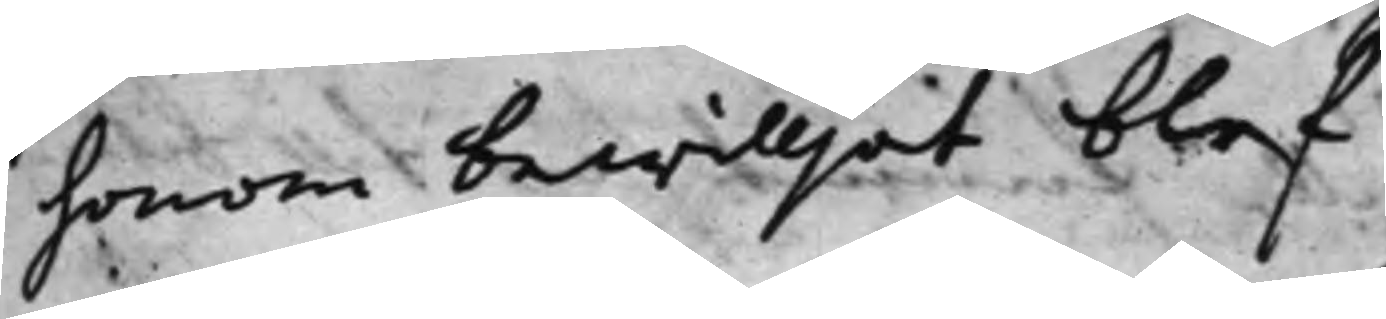honom bewilljat blef.
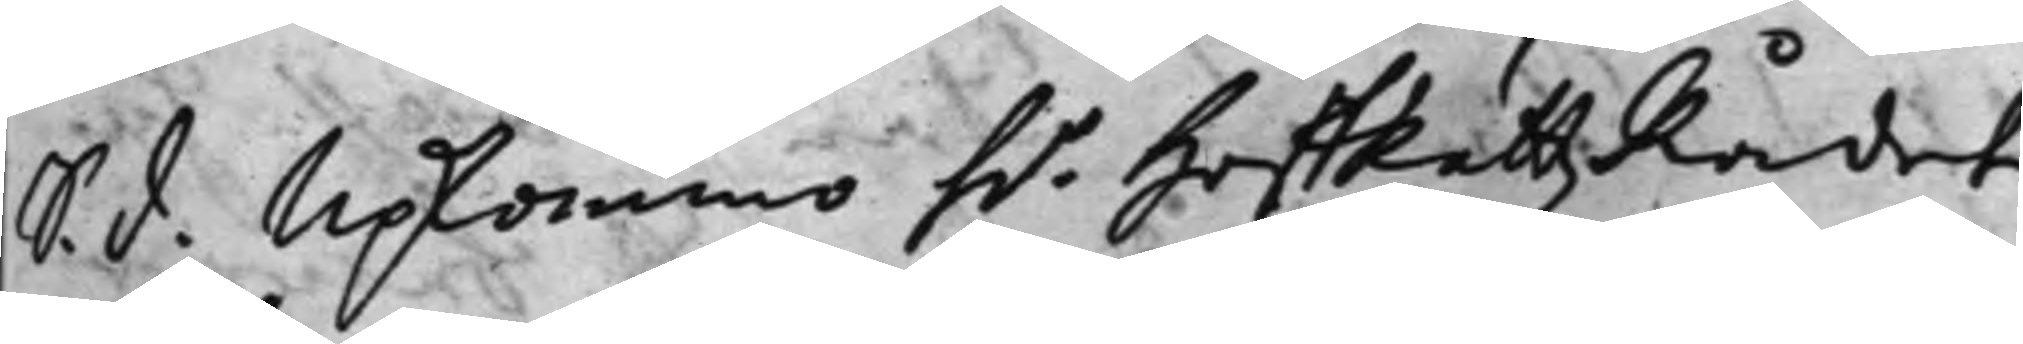S. d. Upkommo h.r HoffRättzRådet
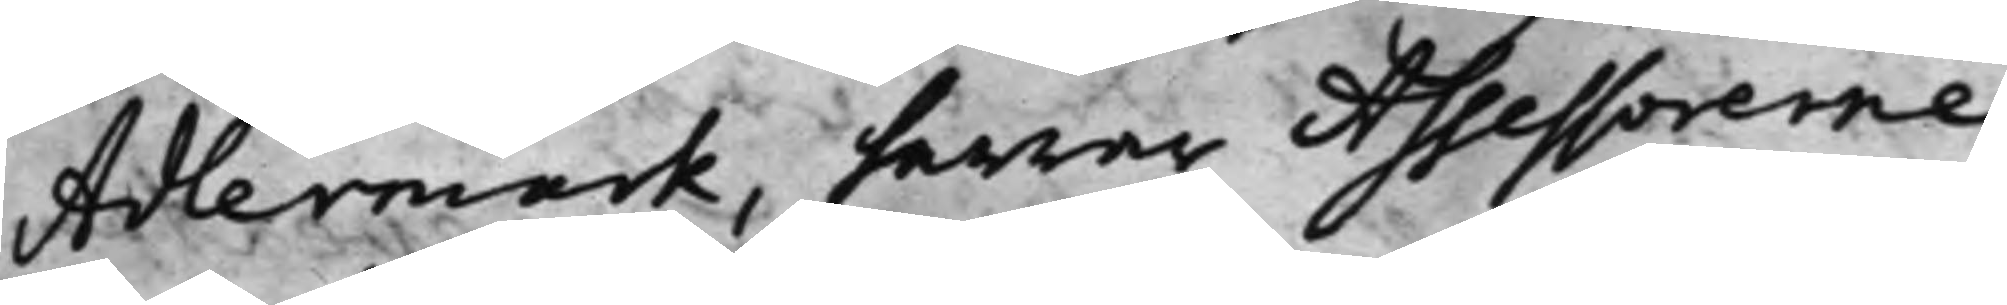Adlermark, herrar Assessorerne
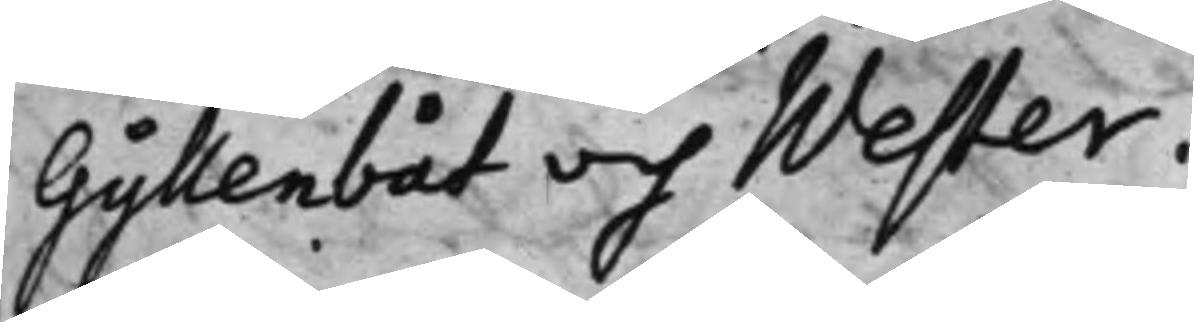Gyllenbåt och Wester.
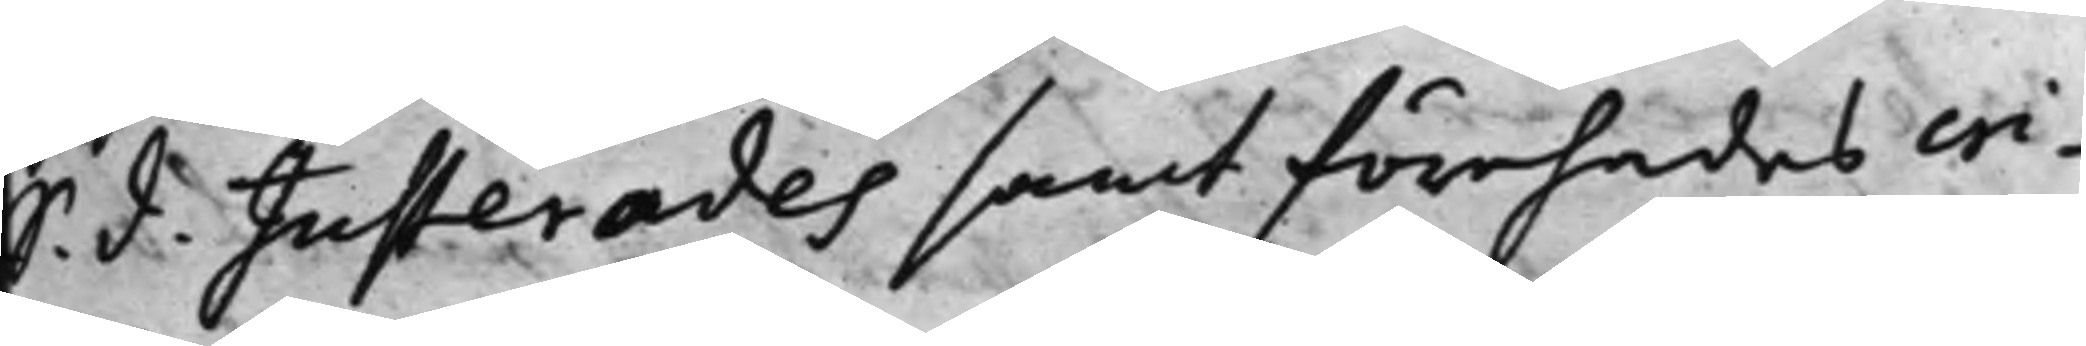S. d. Justerades samt förehades cri¬
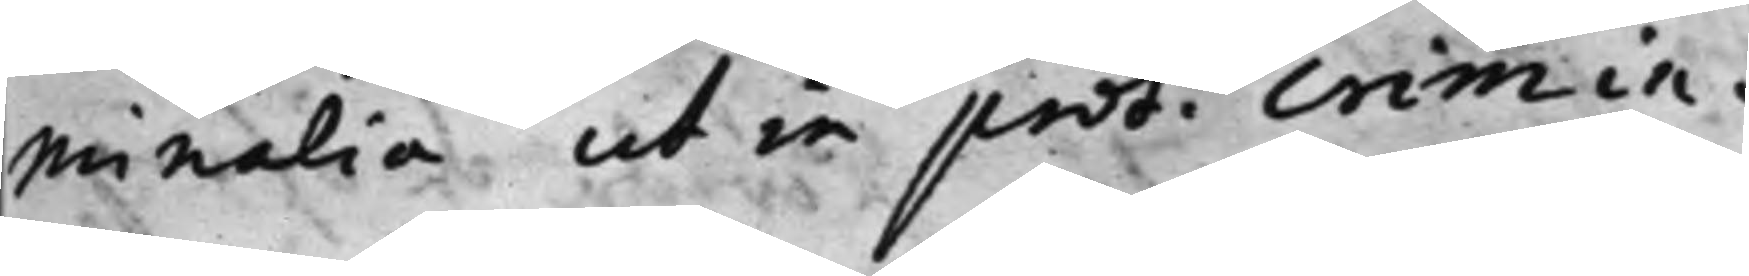minalia ut in prot. crimin.
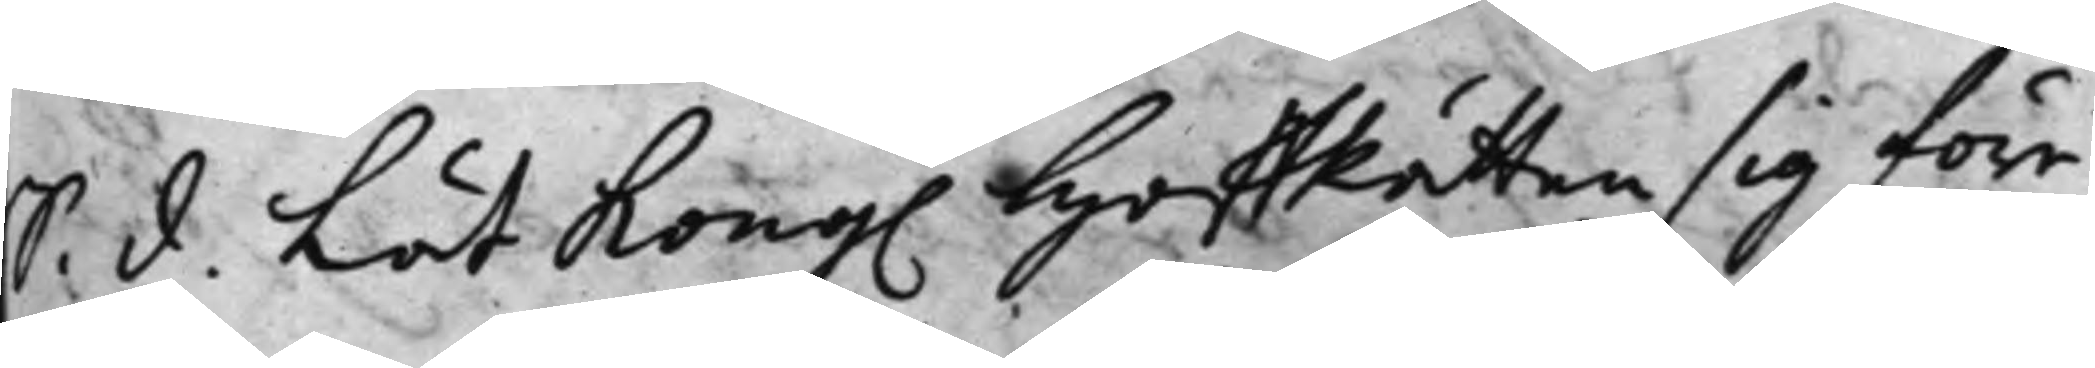S. d. Lät Kong. HoffRätten sig före¬
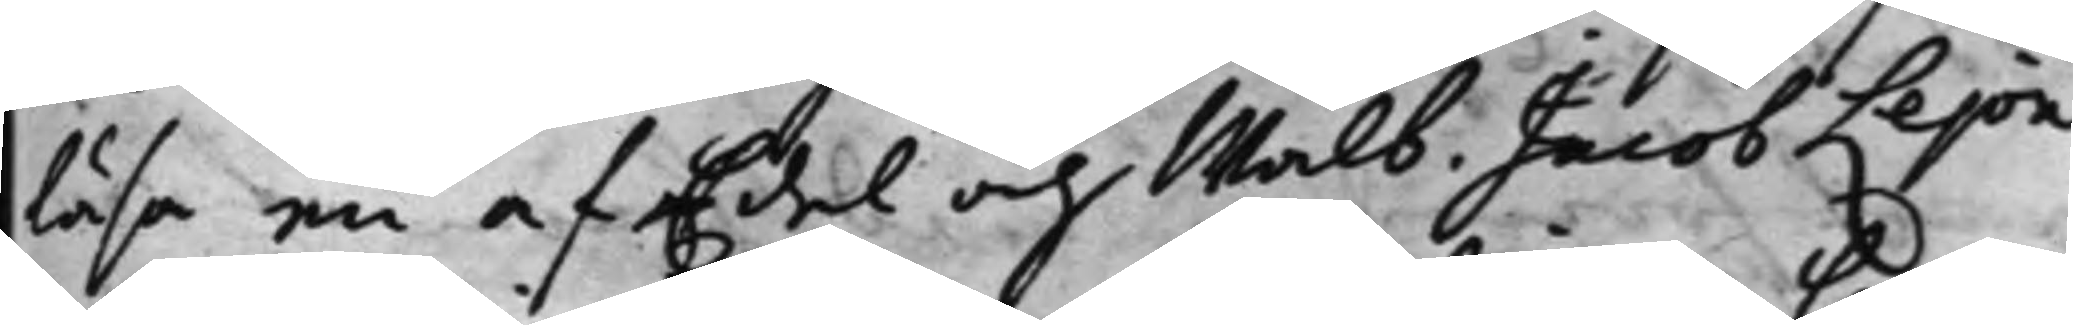läsa en af Edel och Wälb. Jacob Lejon¬
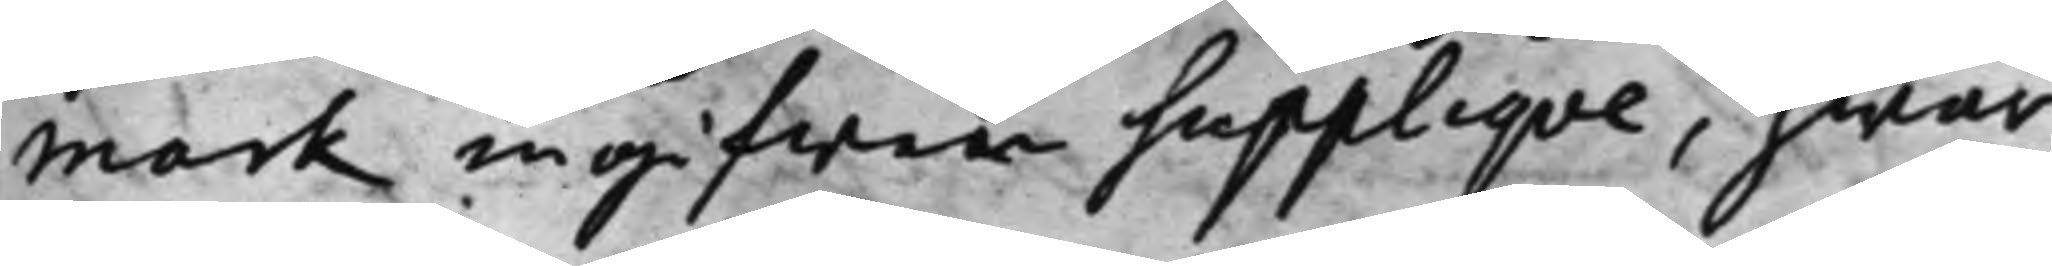mark ingifwen Suppliqve, hwar¬
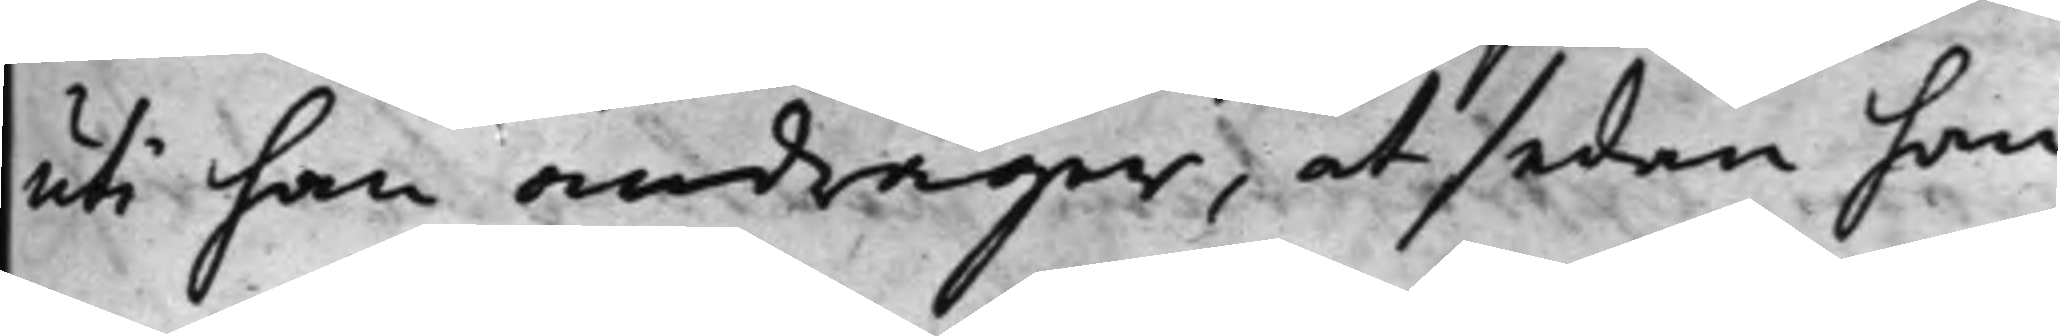uti han andrager, at sedan han
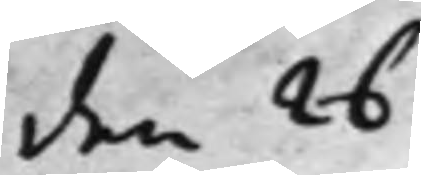den 26
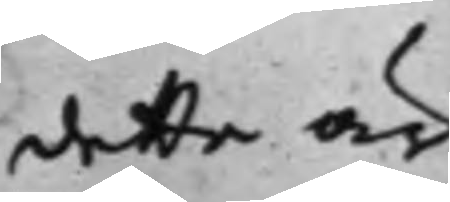detta är
